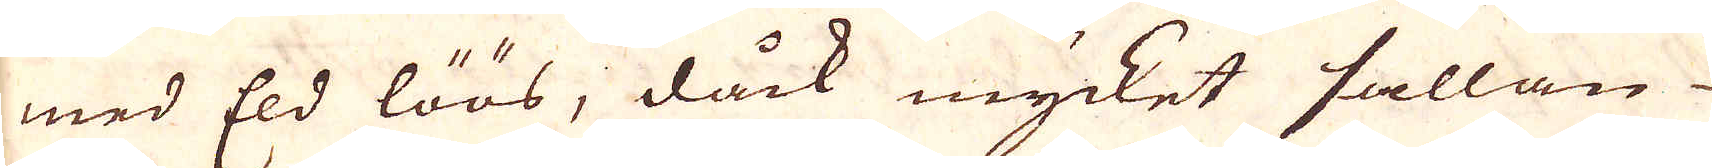med Eld löös, dåck mycket sällan
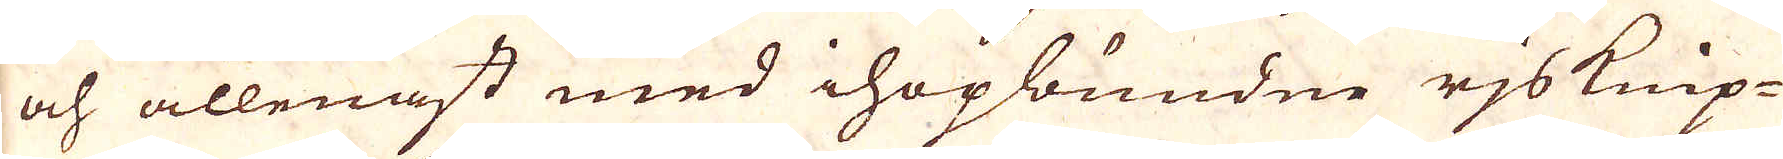och allenast med ihopbundne rjsknip-
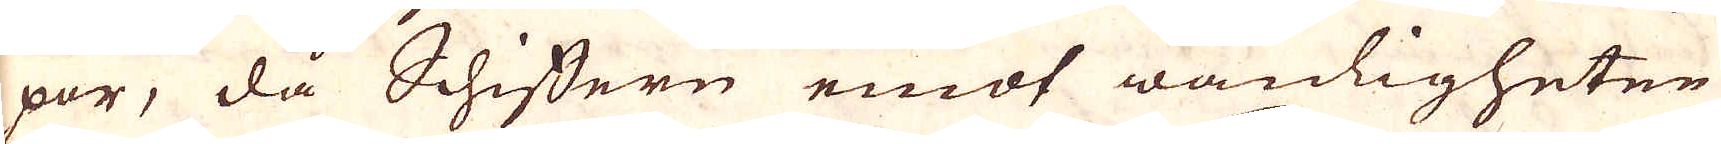por, då Schiffern emot wanligheten
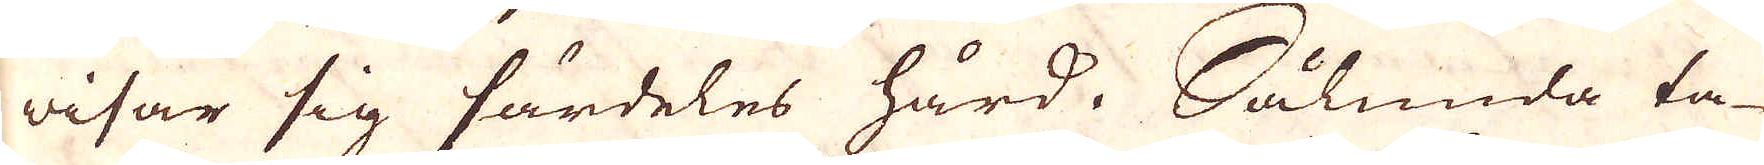wisar sig särdeles hård, Sålunda ta-
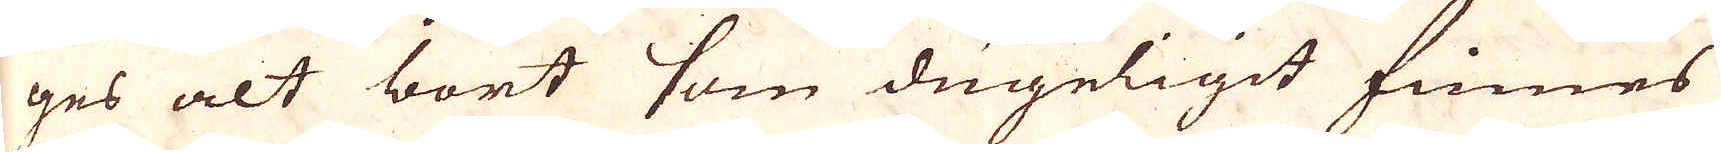ges alt bort som dugeligit finnes
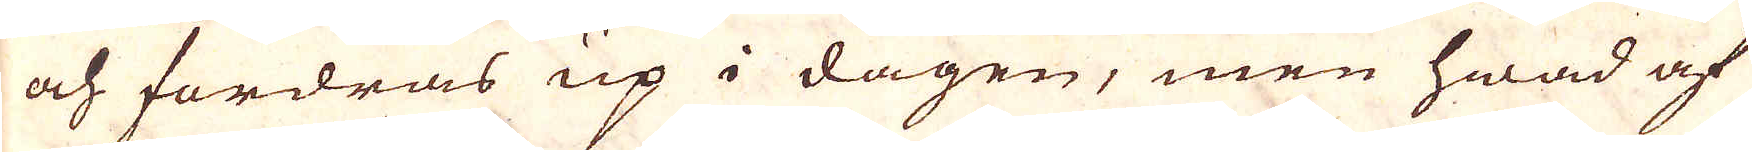och fordras up i dagen, men hwad af
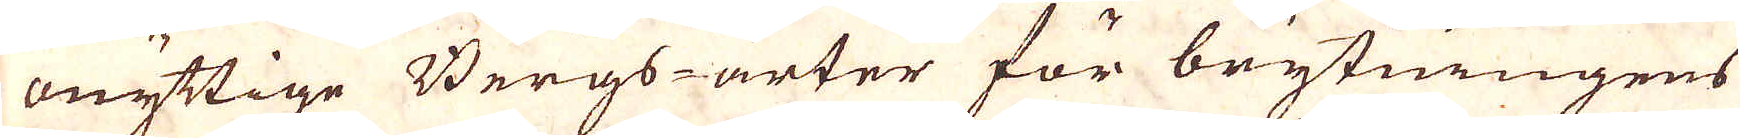onyttige Bergs-arter för brytningens
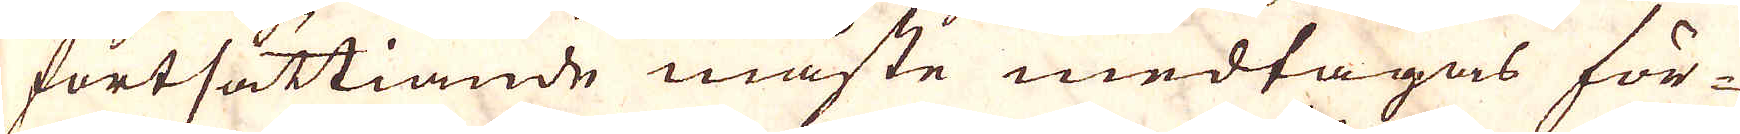fortsättiande måste medtagas för-
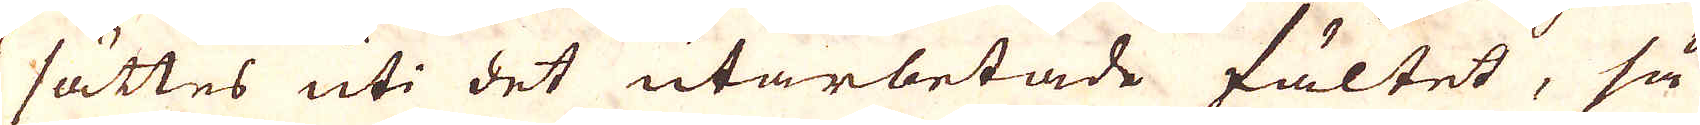sättes uti det utarbetade fältet, så
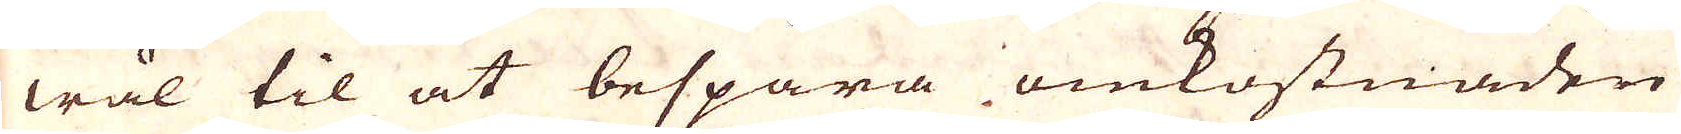wäl til at bespara omkostnaden
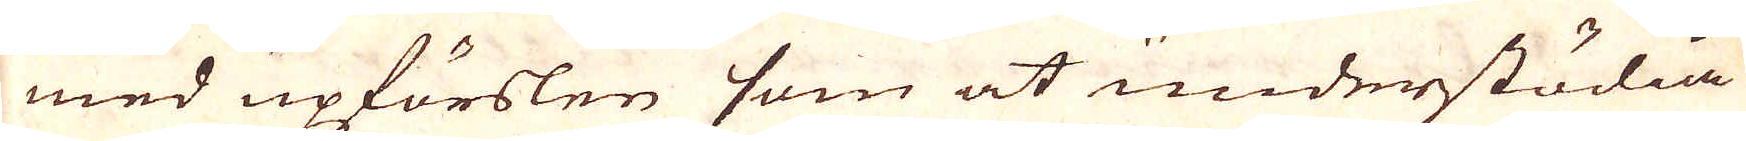med upförslen som at undenstödia
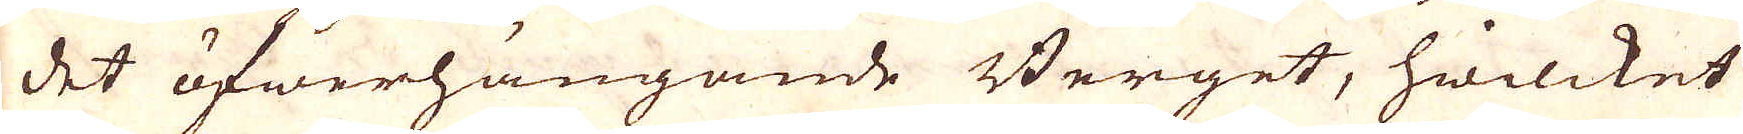det öfwerhängande Berget, hwilcket
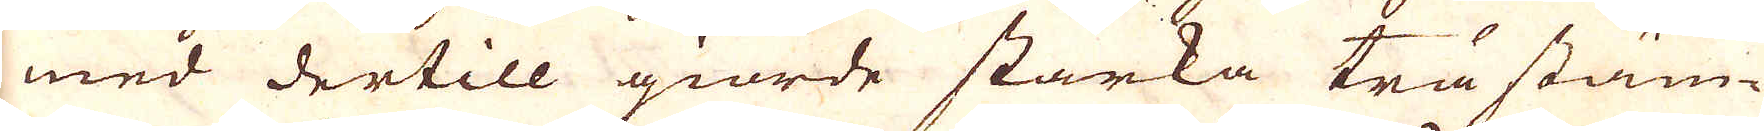med dertill giorde starka trästäm-
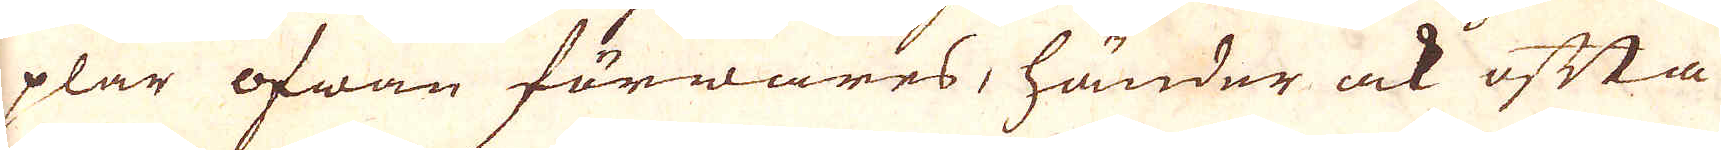plar ofwan förwares, händer ock ofta
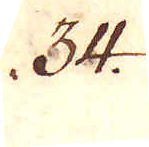34.
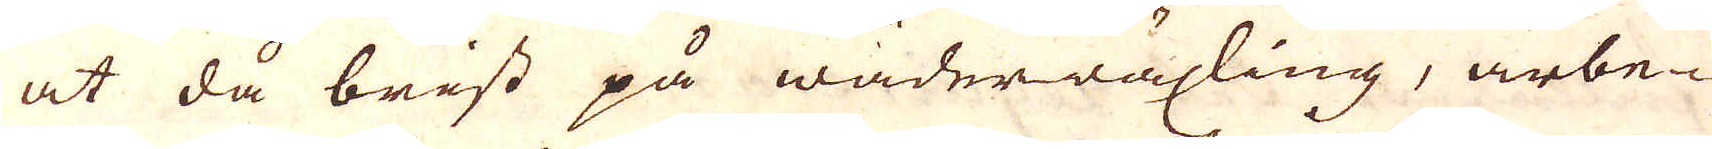at då brist på wäderwäxling, arbe-
